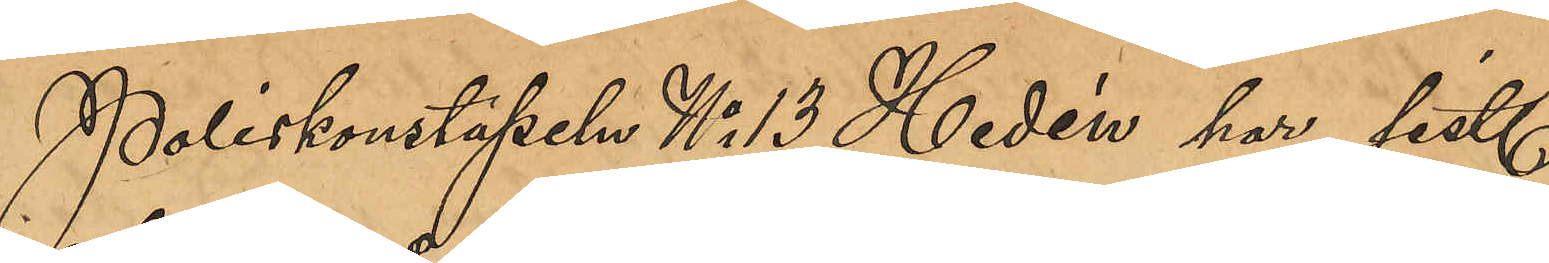Poliskonstapeln No 13 Hedén har sist.
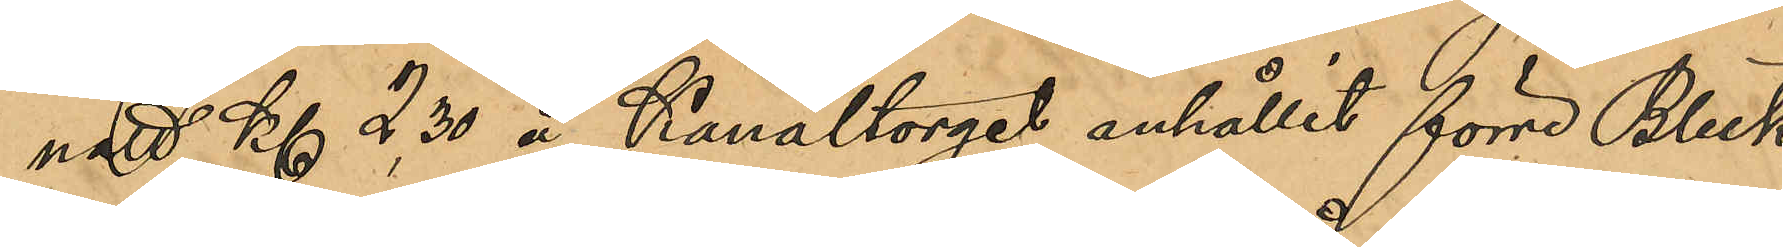natt Kl 2,30 å Kanaltorget anhållit förre Bleck¬
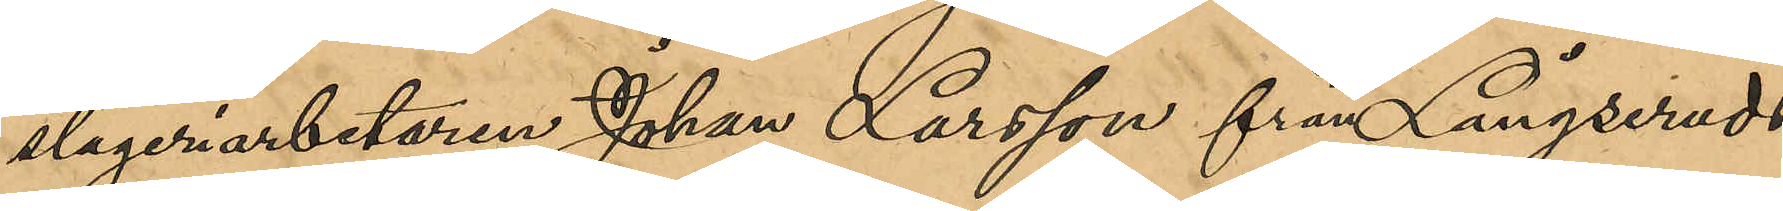slageriarbetaren Johan Larsson från Långseruds
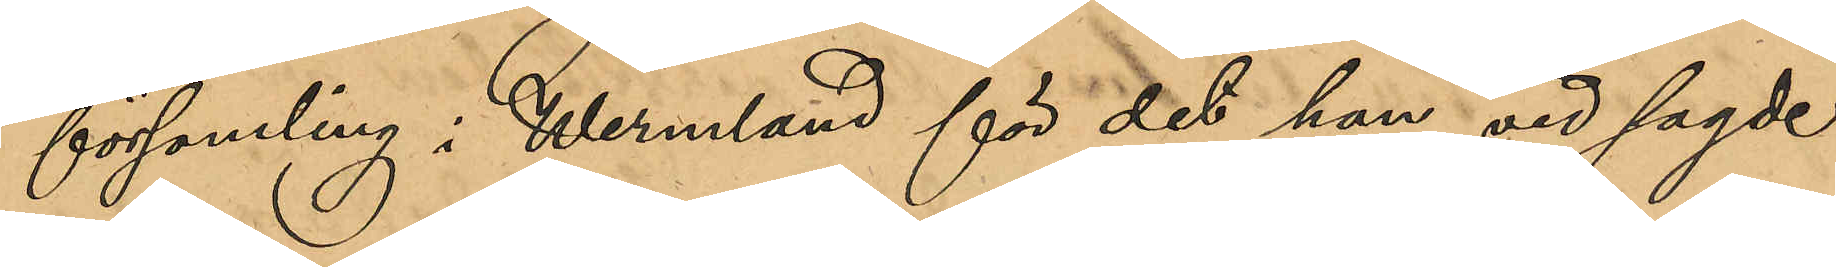församling i Wermland för det han vid sagde
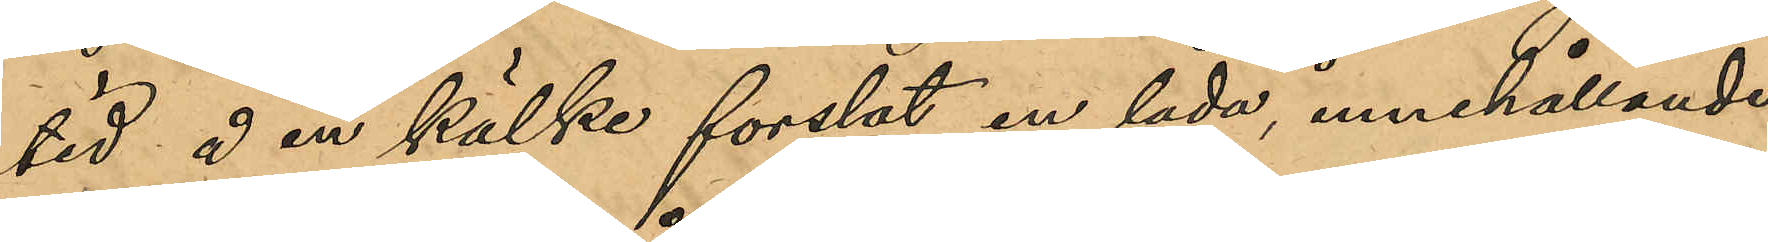tid å en kälke forslat en låda innehållande
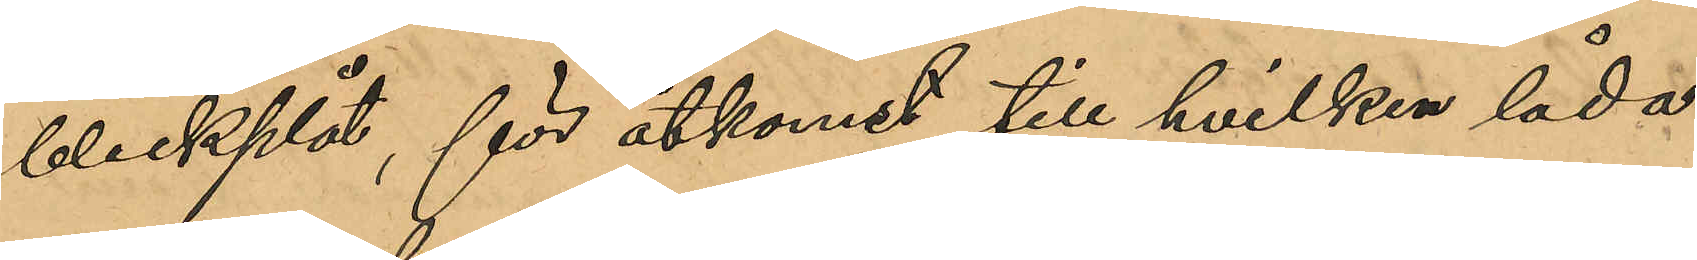bleckplåt, för åtkomst till hvilken låda
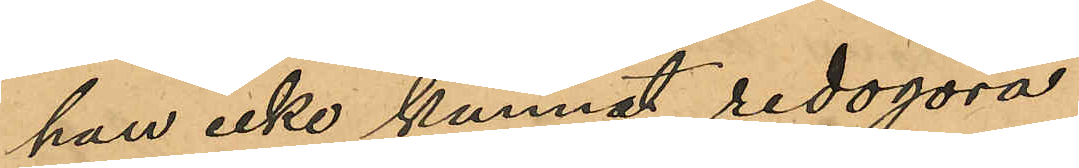han icke kunnat redogöra.
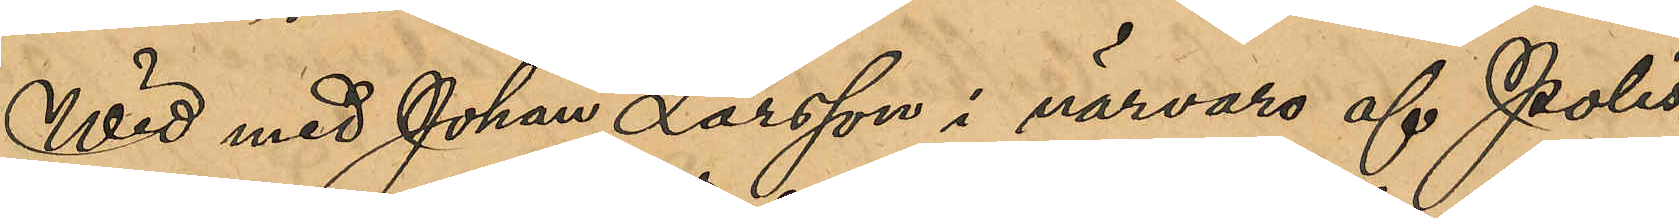Wid med Johan Larsson i närvaro af Polis¬
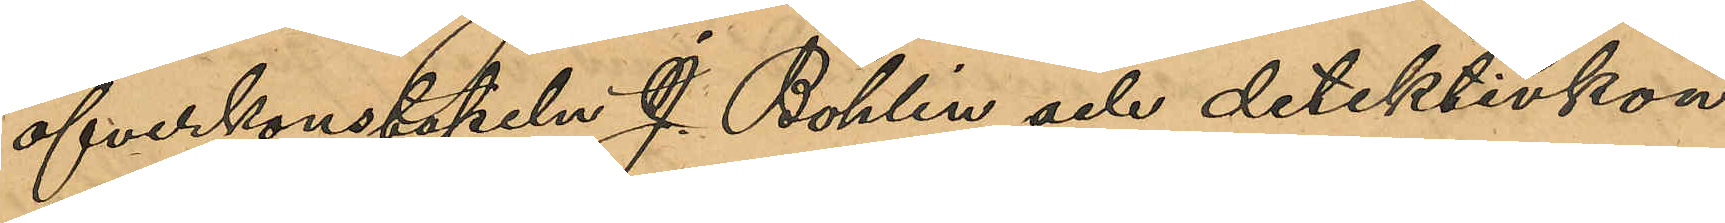öfverkonstapeln J. Bohlin och detektivkon¬
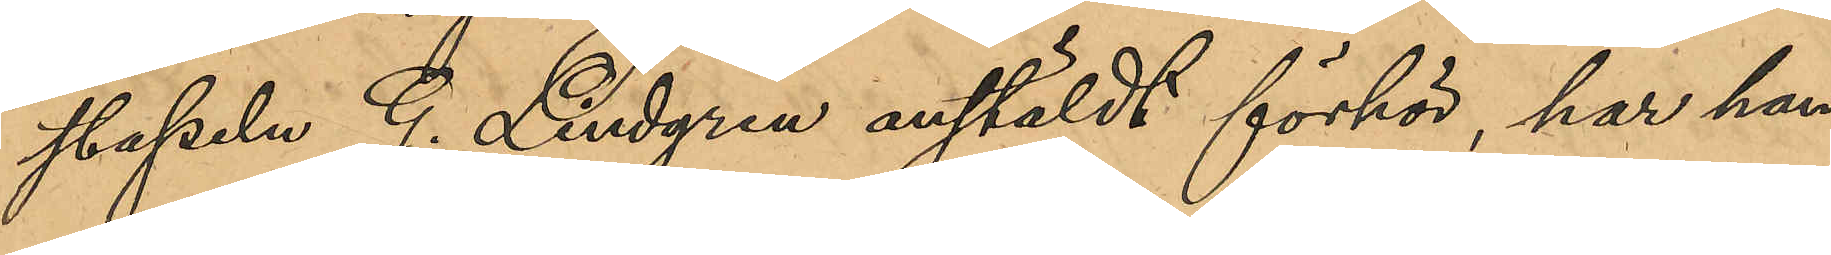stapeln G. Lindgren anstäldt förhör, har han
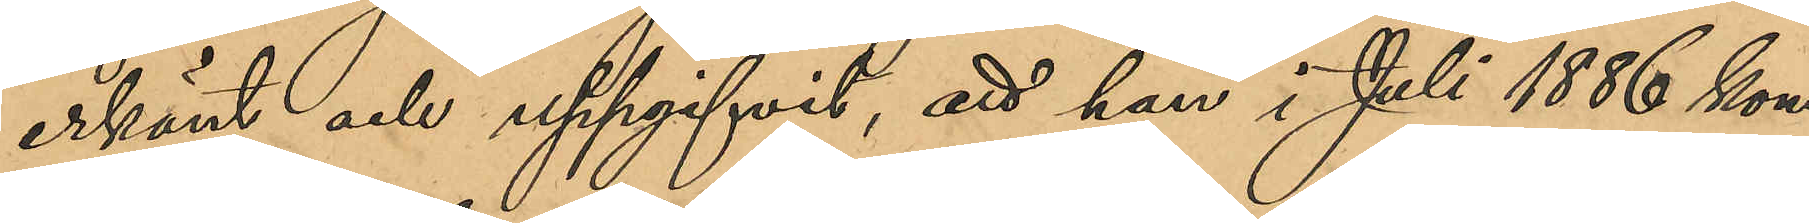erkänt och uppgifvit, att han i Juli 1886 kom¬
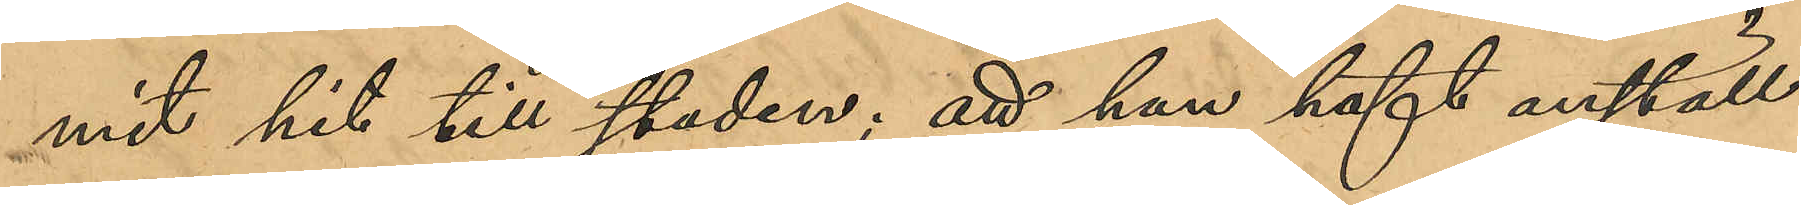mit hit till staden; att han haft anställ¬
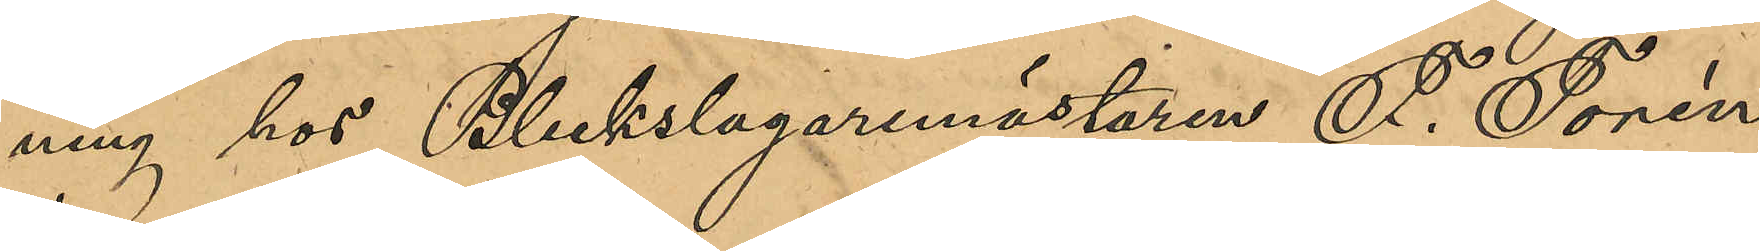ning hos Bleckslagaremästaren F. Torén,
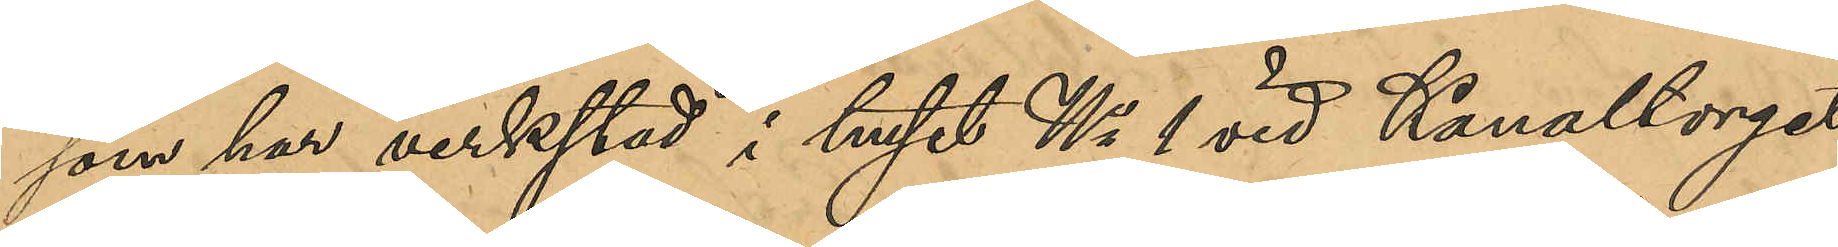som har verkstad i huset No 1 vid Kanaltorget
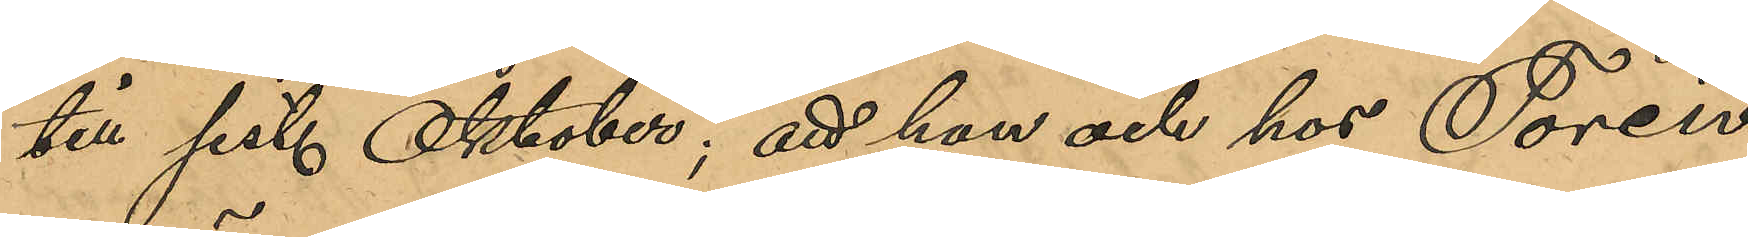till sist. Oktober; att han ock hos Toréns
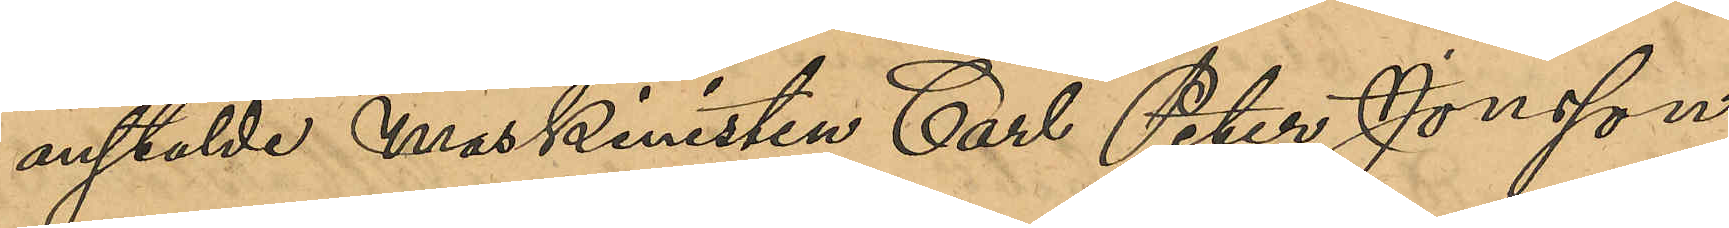anställde Maskinisten Carl Peter Jonsson,
